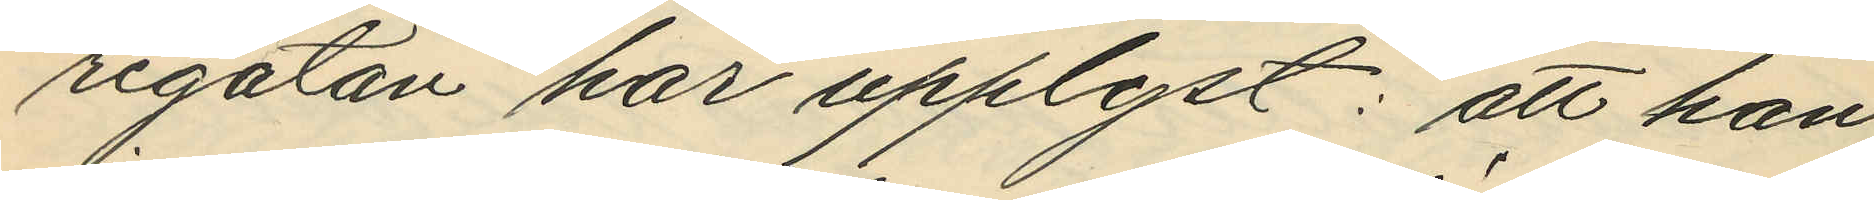regatan har upplyst: att han
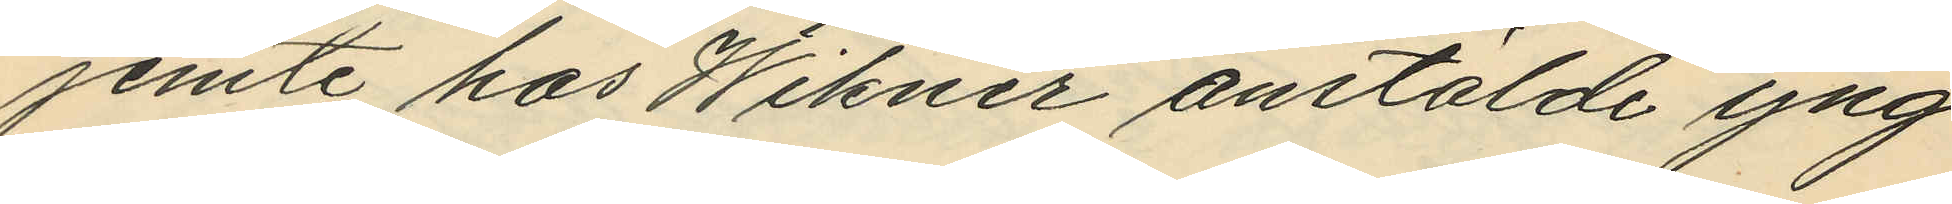jemte hos Wikner anstälde yng¬
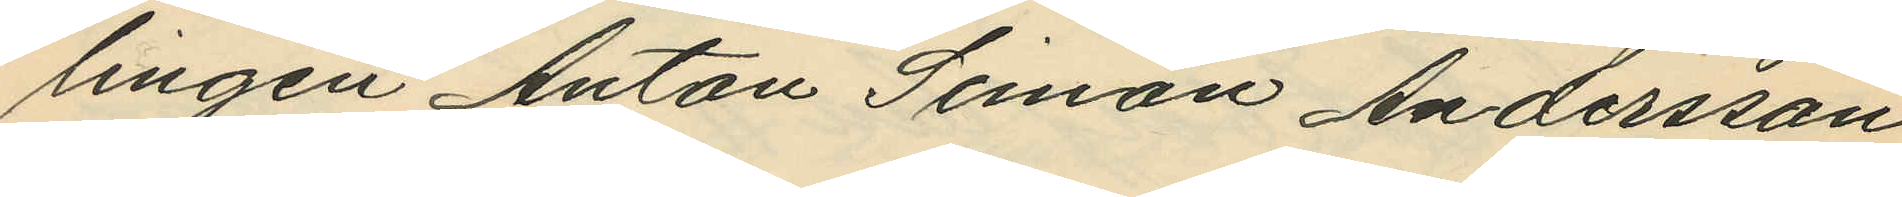lingen Anton Simon Andersson
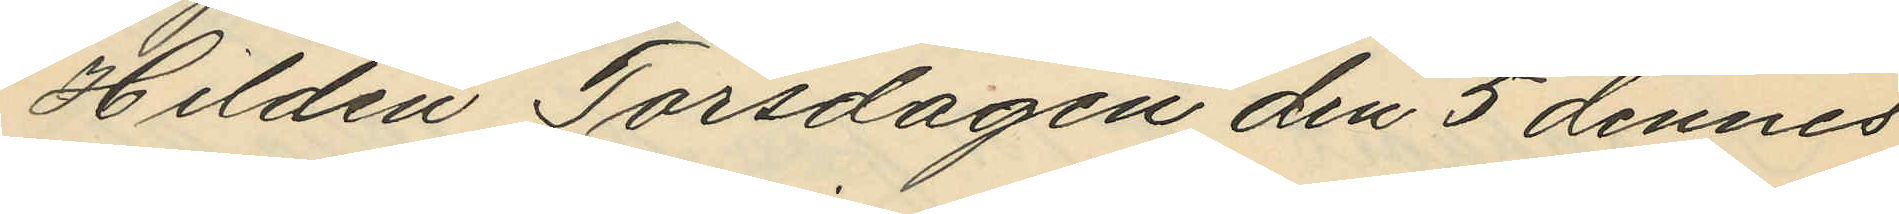Hildén Torsdagen den 5 dennes
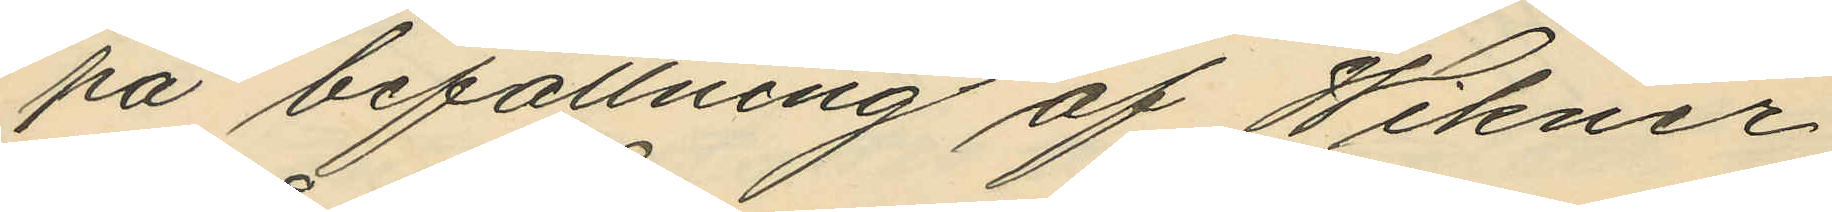på befallning af Wikner
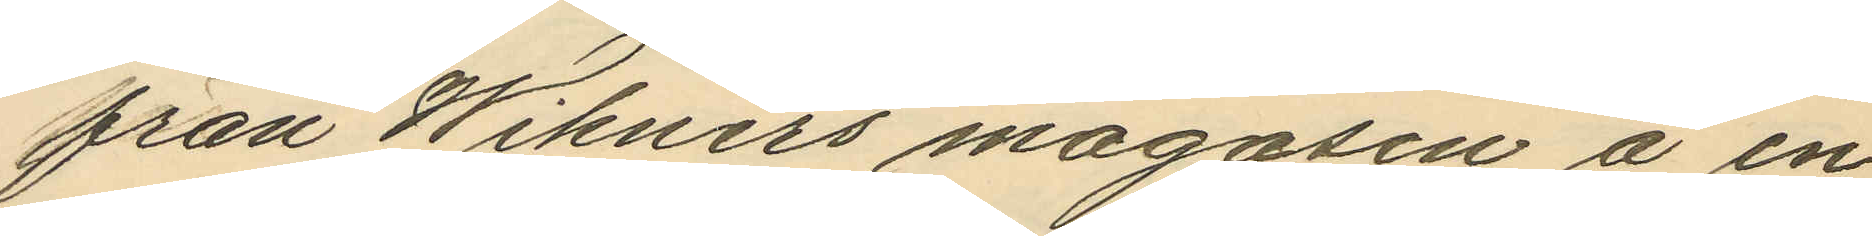från Wikners magasin å en
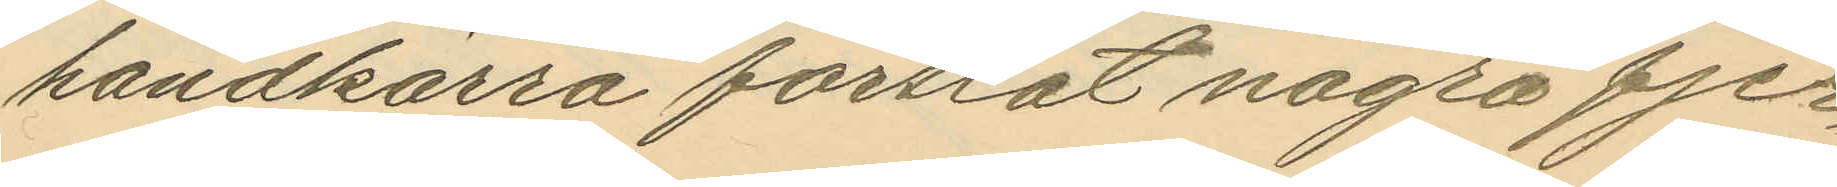handkärra forslat några fjer¬
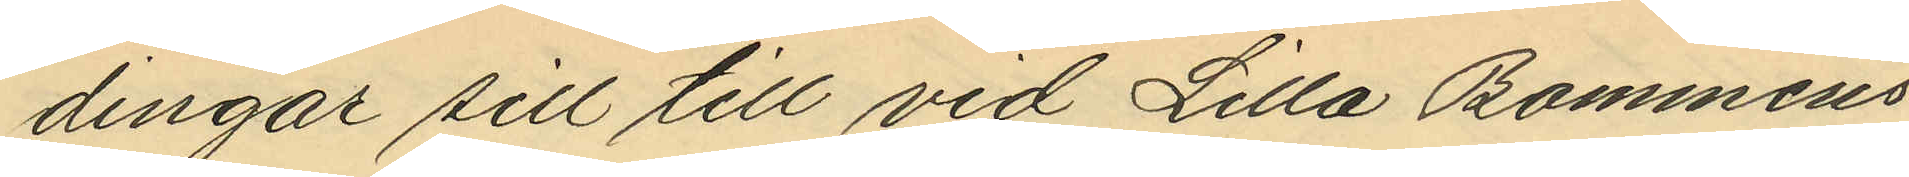dingar sill till vid Lilla Bommens
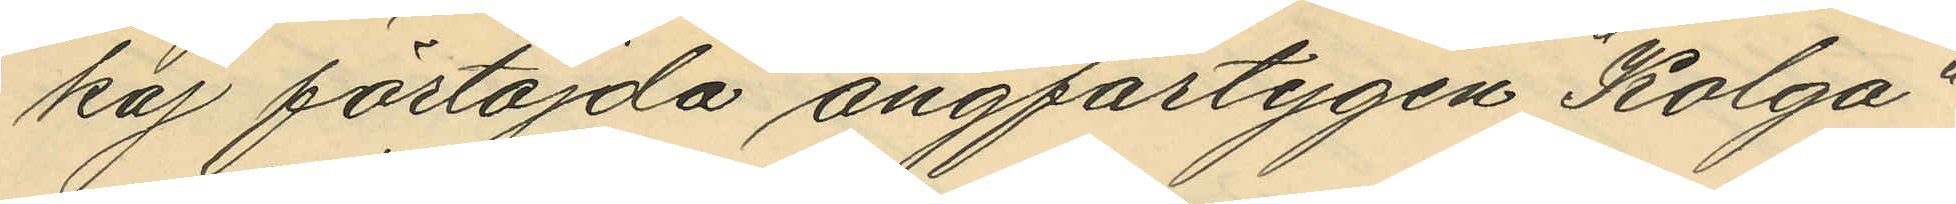kaj förtöjda ångfartygen "Kolga"
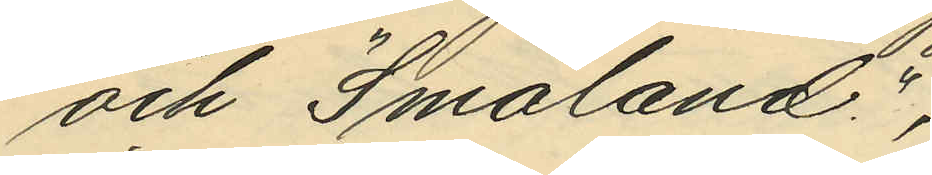och "Småland",
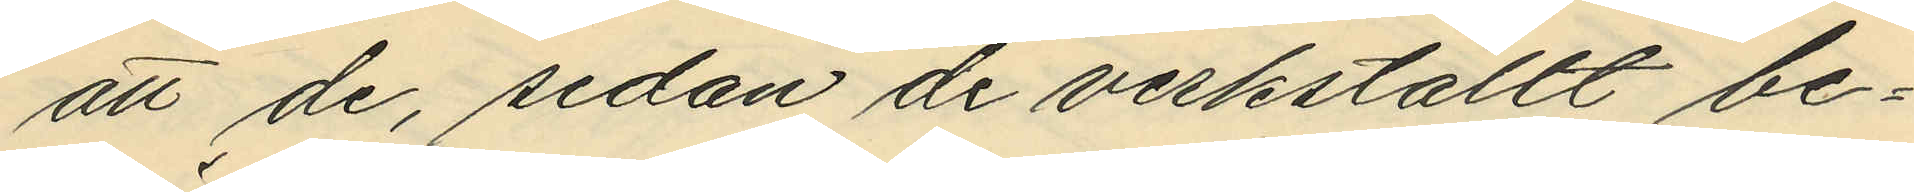att de, sedan de verkställt be¬
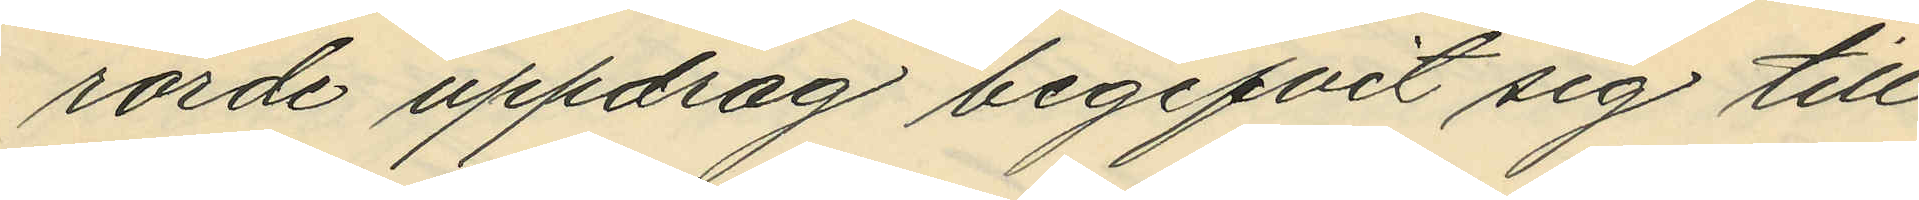rörde uppdrag begifvit sig till
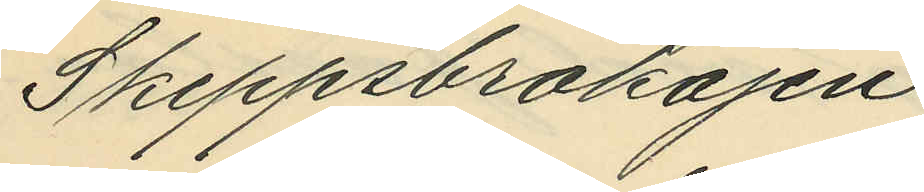Skeppsbrokajen;
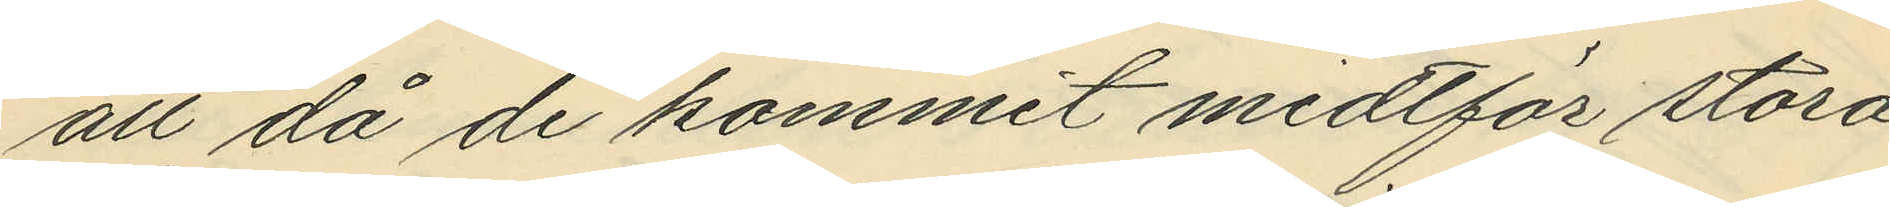att då de kommit midtför stora
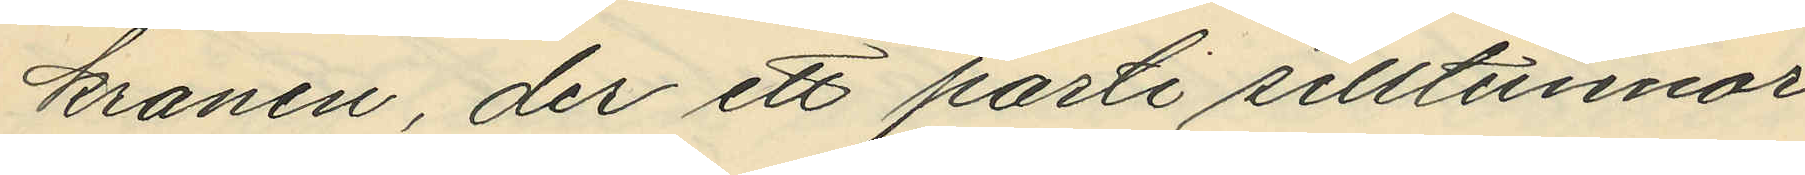kranen, der ett parti silltunnor
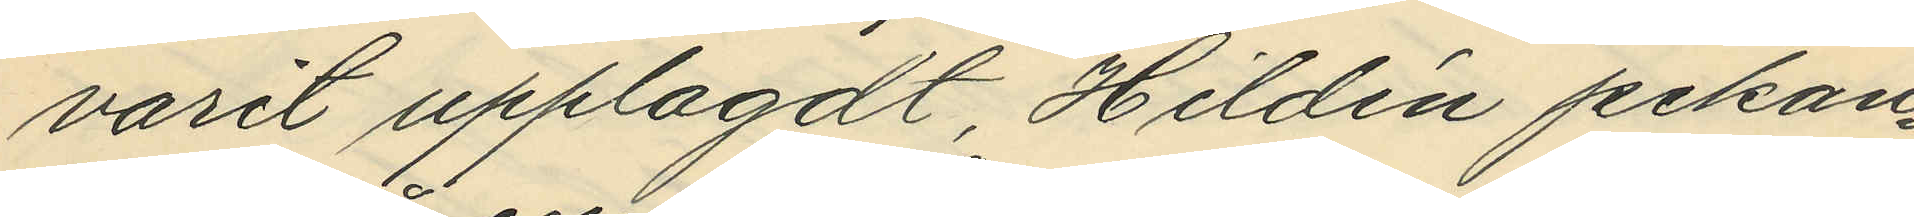varit upplagdt, Hildén pekan¬
